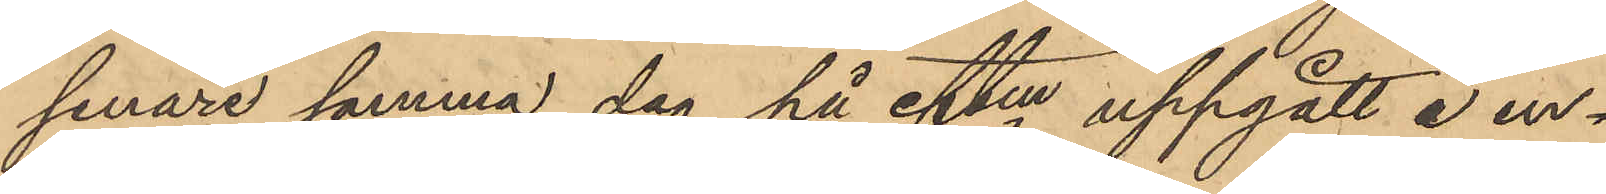senare samma dag på eftm uppgått å en
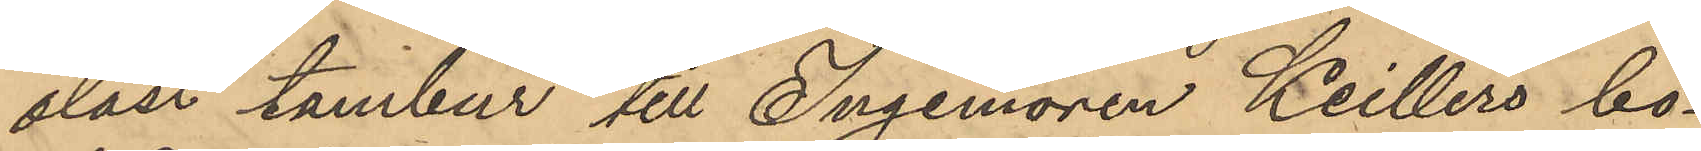olåst tambur till Ingeniören Keillers bo¬
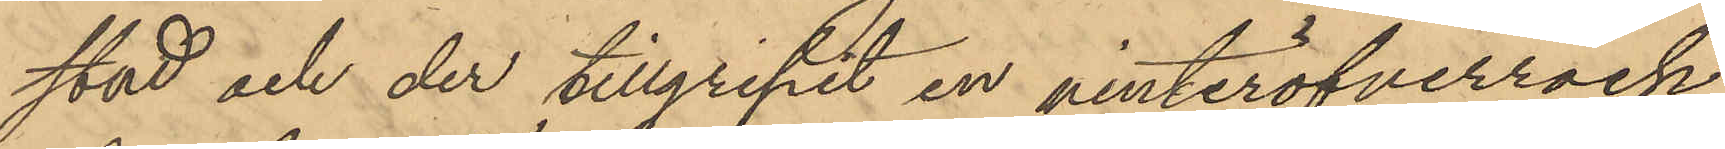stad och der tillgripit en vinteröfverrock
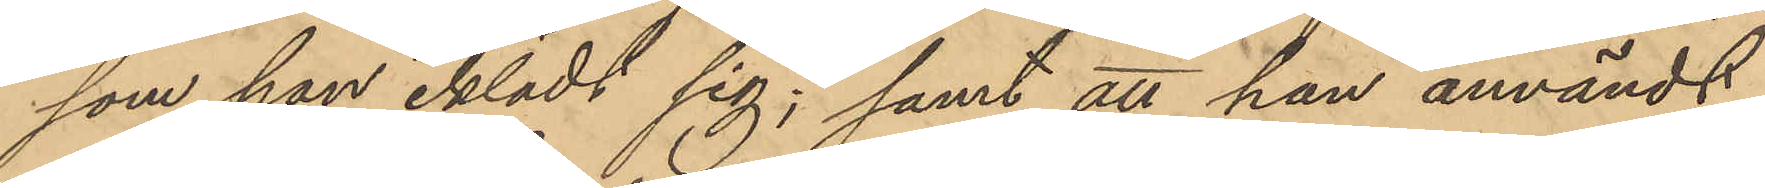som han iklädt sig; samt att han användt
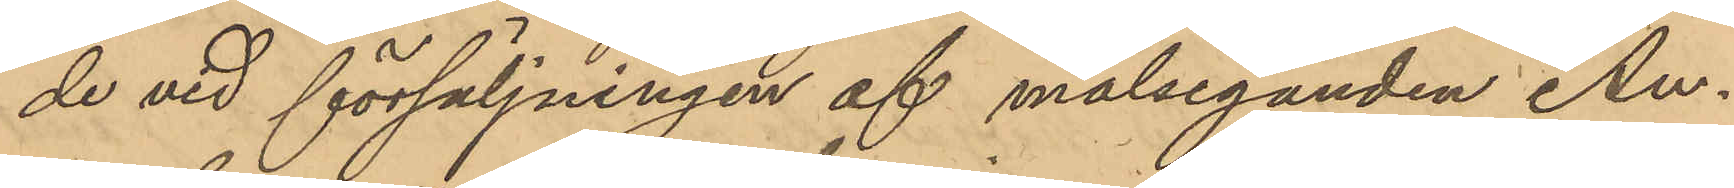de vid försäljningen af målseganden An¬
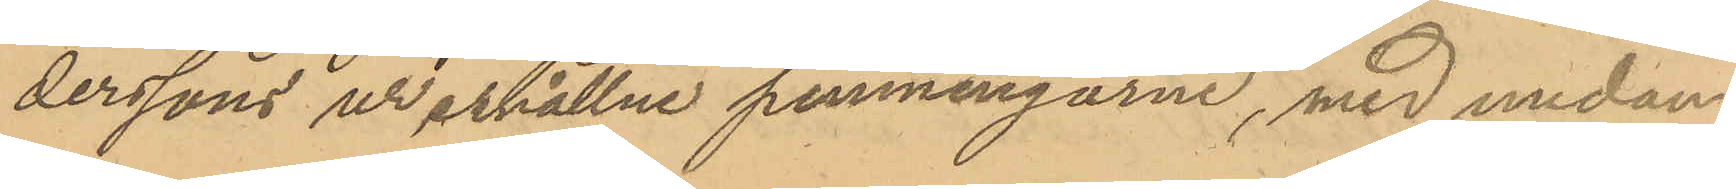derssons ur erhållne penningarne, med undan¬
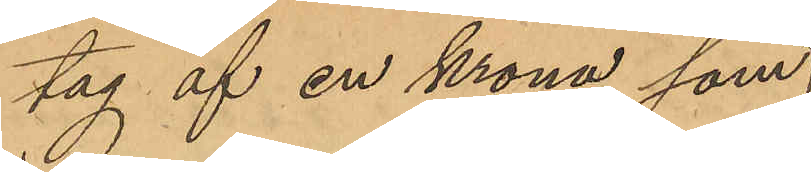tag af en krona som
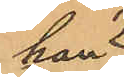han 
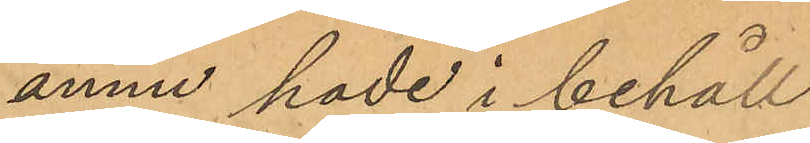ännu hade i behåll
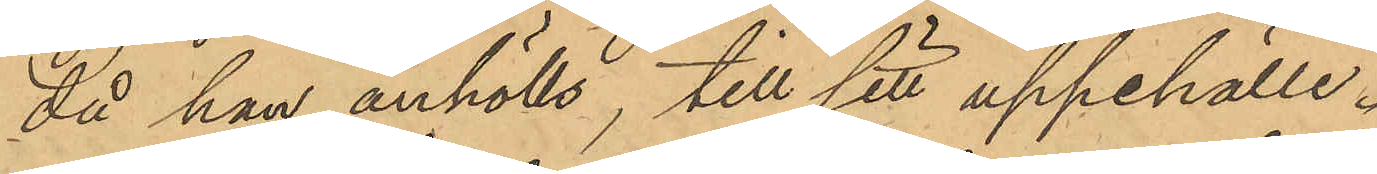då han anhölls, till sitt uppehälle.
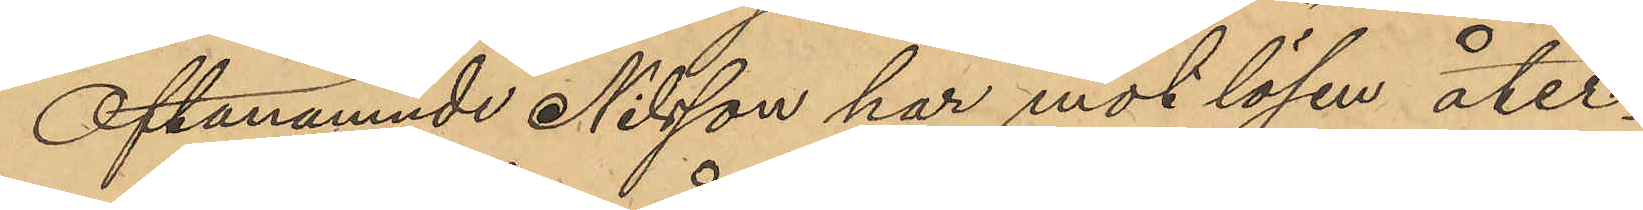Oftanämnde Nilsson har mot lösen åter¬
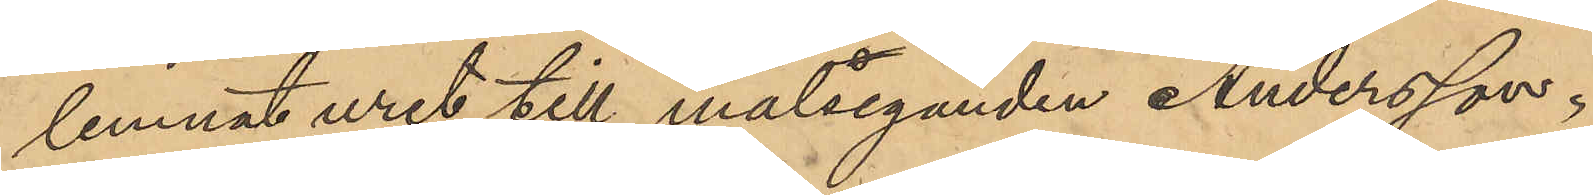lemnat uret till målseganden Andersson;
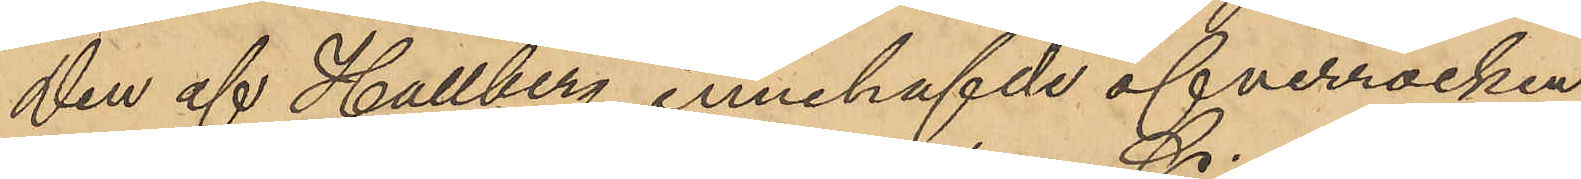den af Hallberg innehafde öfverrocken
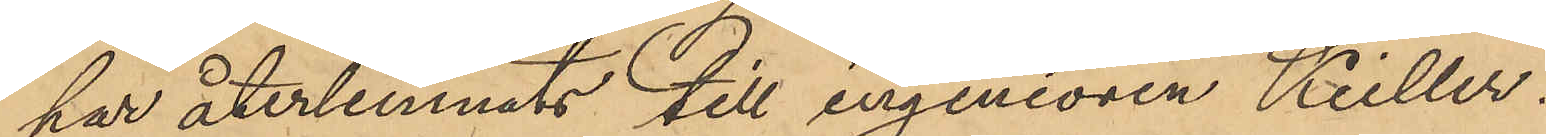har återlemnats till ingeniören Keiller.
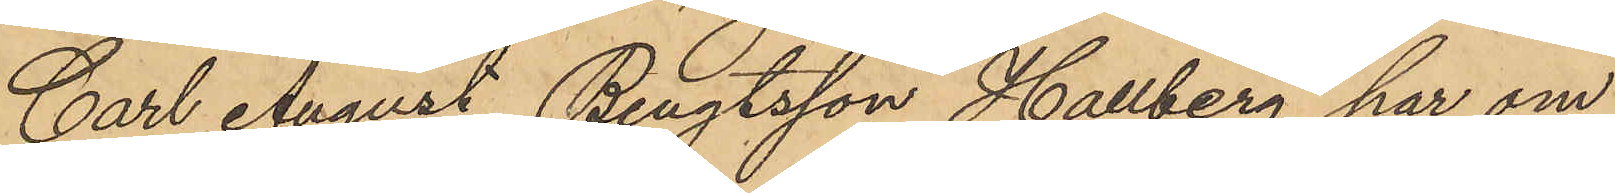Carl August Bengtsson Hallberg har om
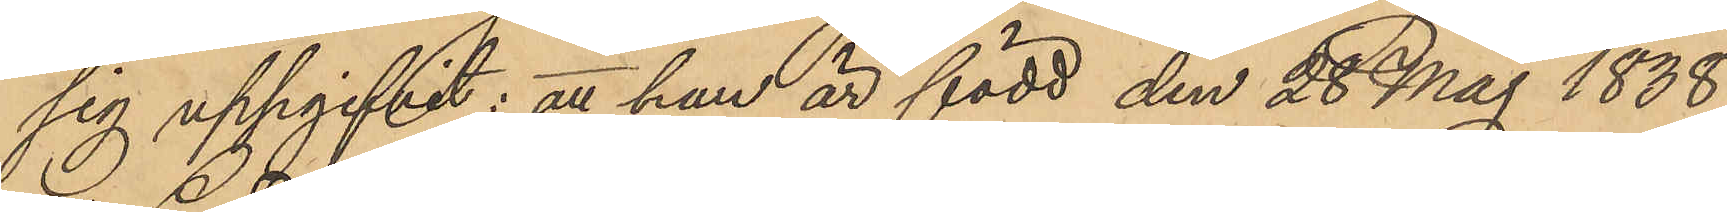sig uppgifvit: att han är född den 28 Maj 1838 
